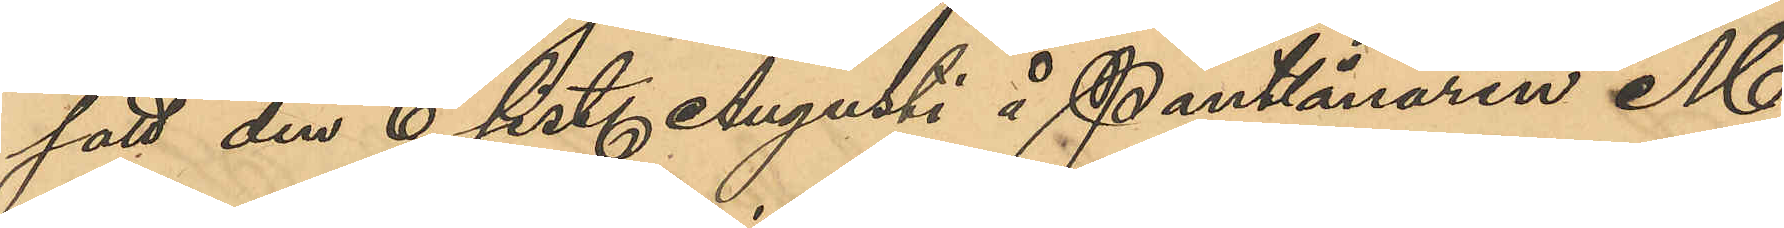satt den 6 sist. Augusti å Pantlånaren M.
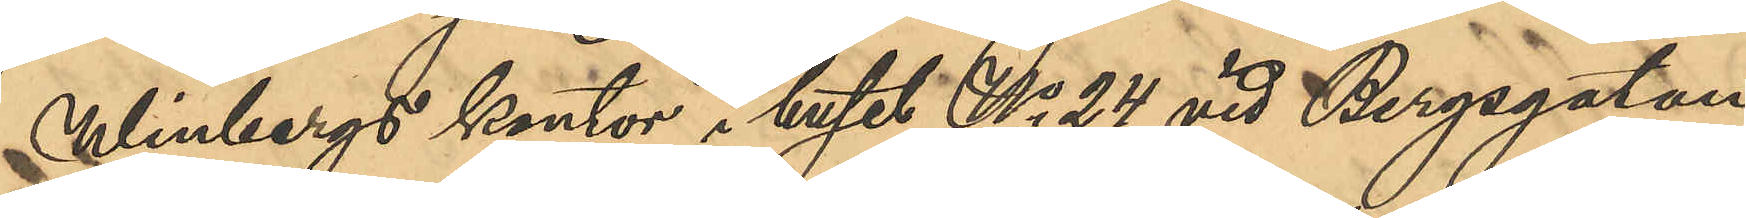Winbergs kontor i huset No 24 vid Bergsgatan
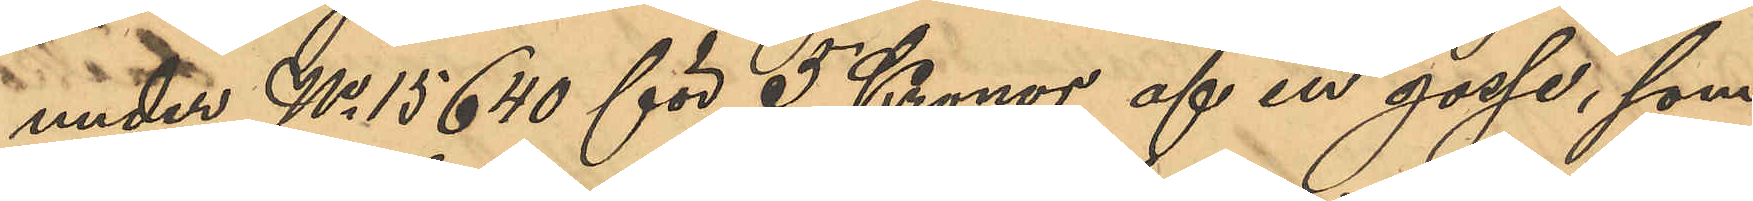under No 15640 för 5 Kronor af en gosse, som
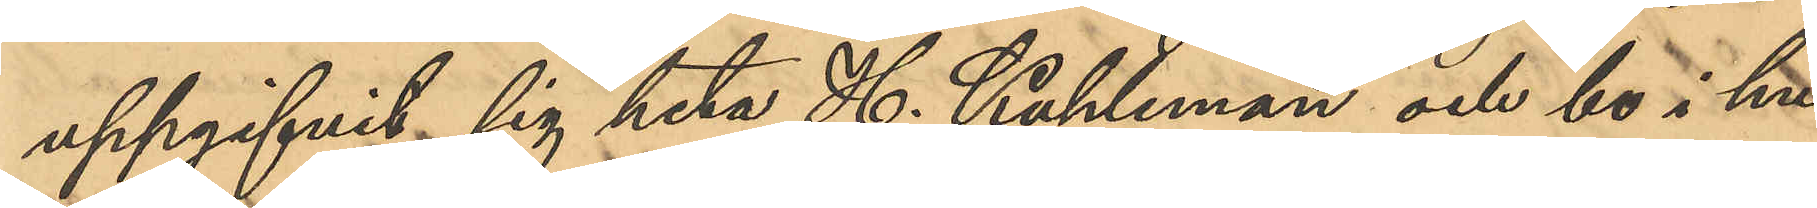uppgifvit sig heta H. Kuhleman och bo i hu¬
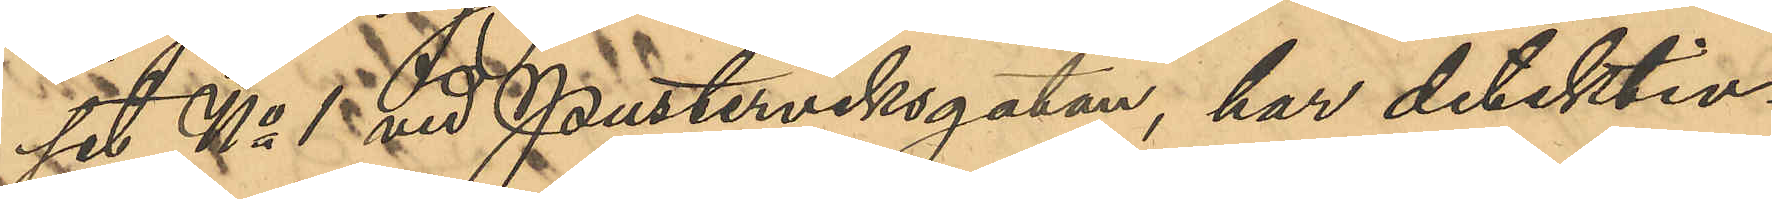set No 1 vid Pusterviksgatan, har detektiv¬
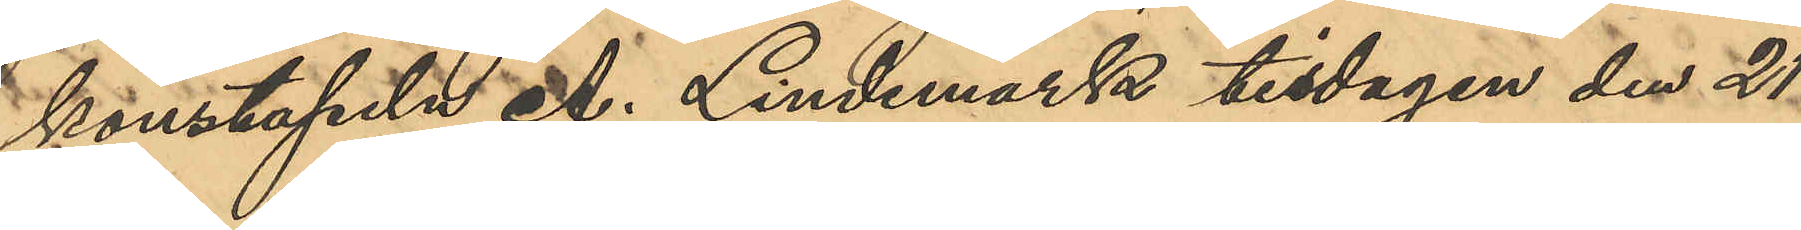konstapeln A. Lindmark tisdagen den 21
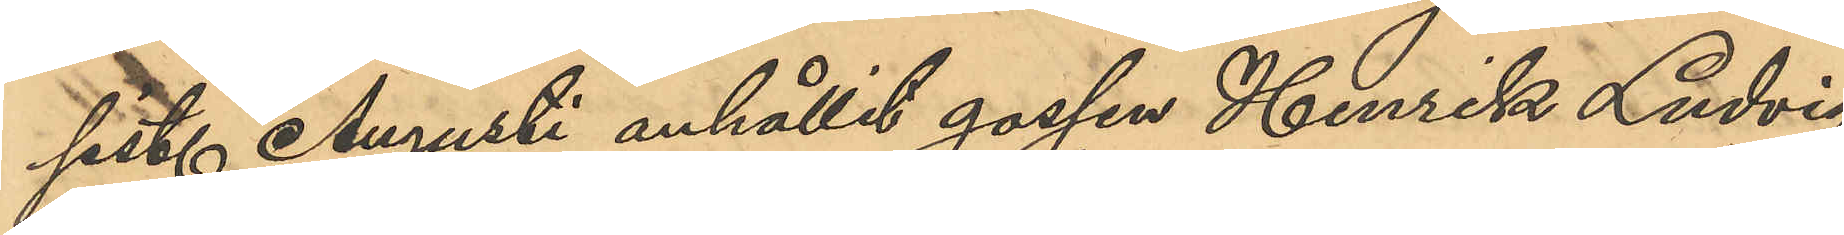sist. Augusti anhållit gossen Henrik Ludvig
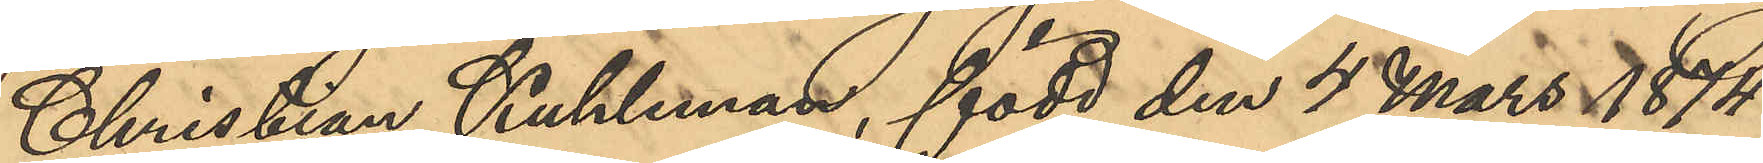Christian Kuhleman, född den 4 Mars 1874
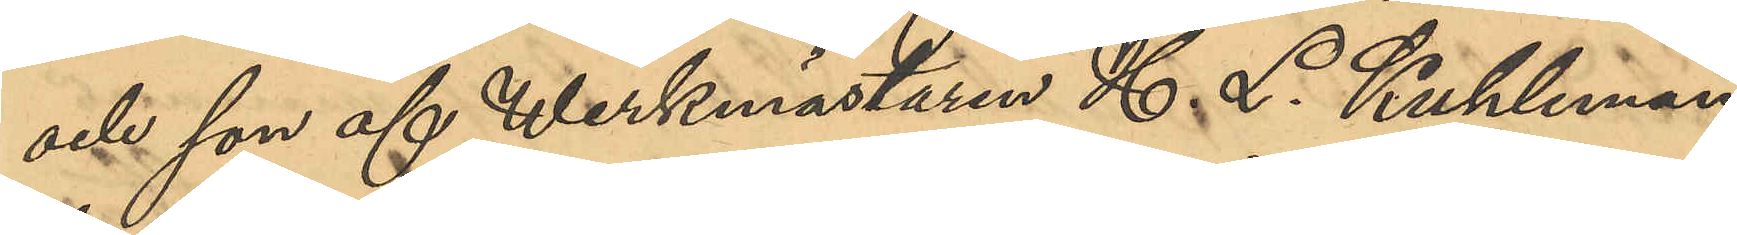och son till Werkmästaren H. L. Kuhleman,
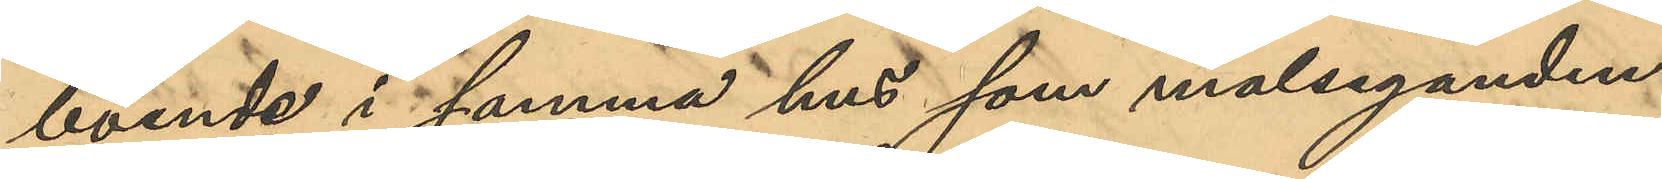boende i samma hus som målseganden.
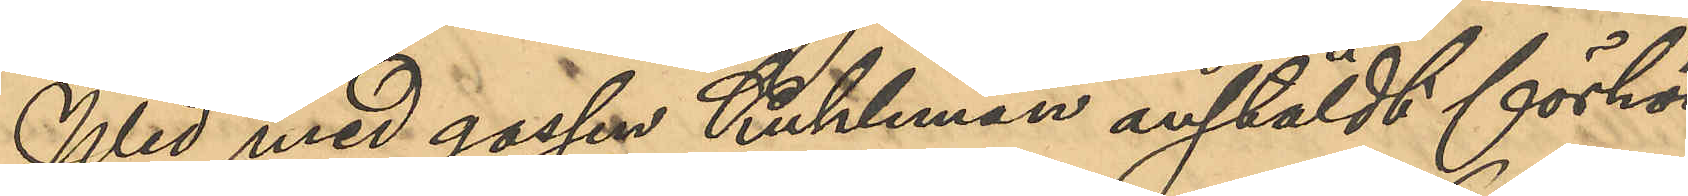Wid med gossen Kuhleman anstäldt förhör
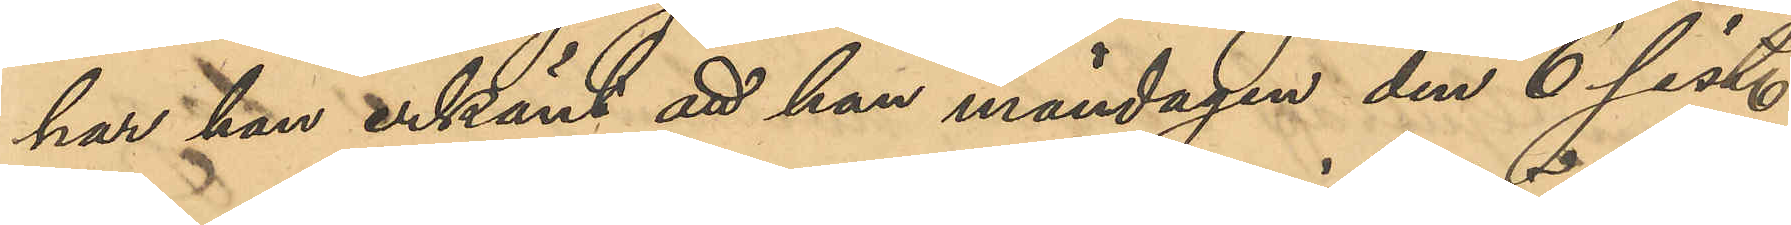har han erkänt att han måndagen den 6 sist.
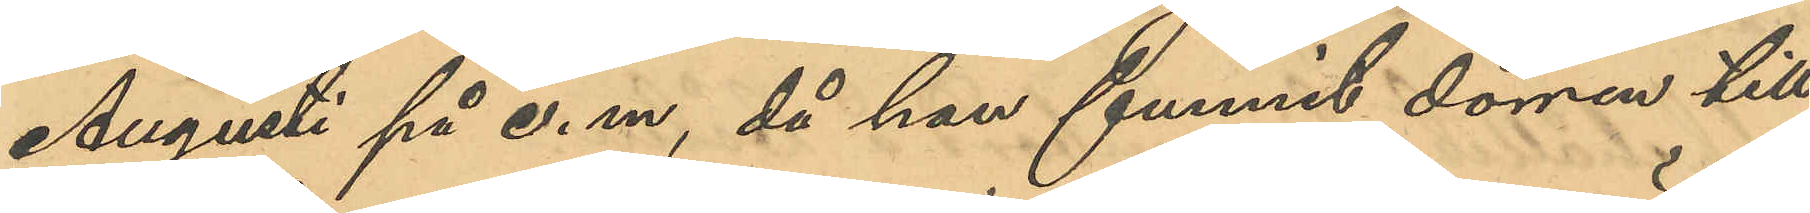Augusti på e. m., då han funnit dörren till
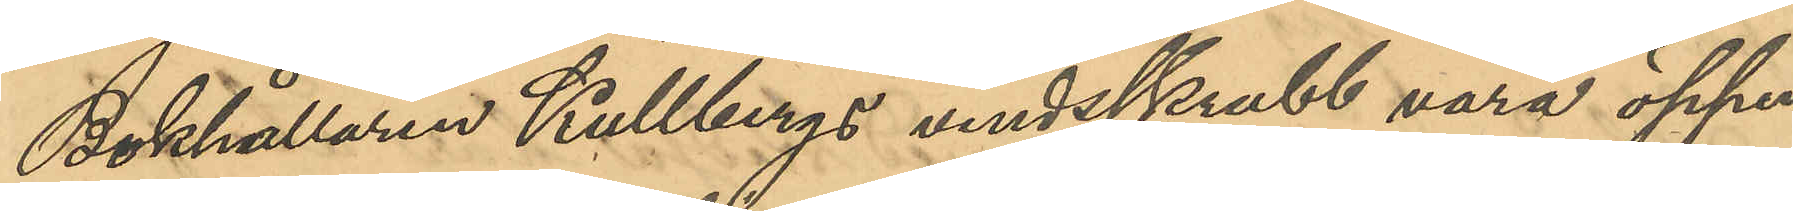Bokhållaren Kullbergs vindsskrubb vara öppen,
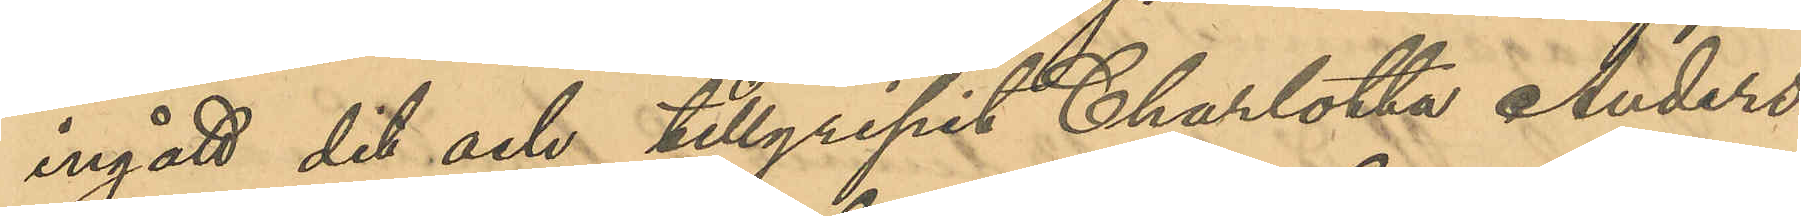ingått dit och tillgripit Charlotta Anders¬
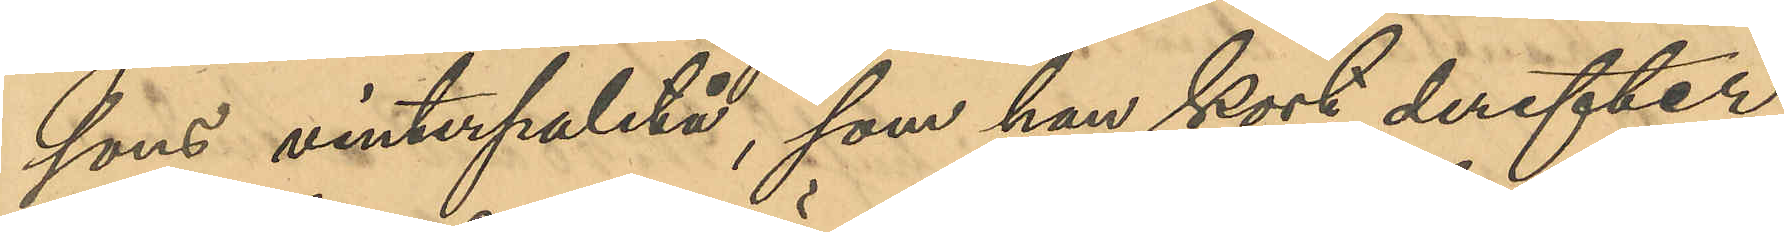sons vinterpaletå, som han kort derefter
